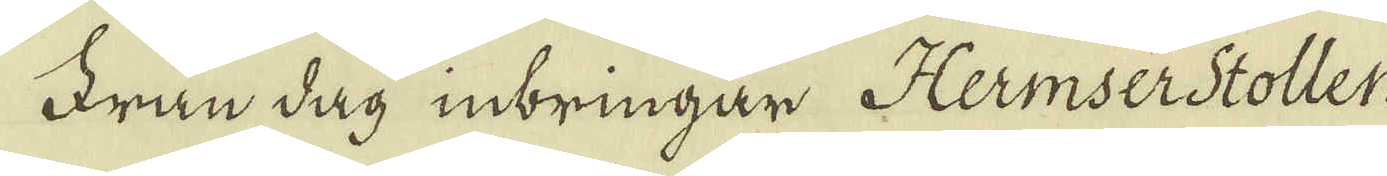Från dag inbringar Hermserstollen
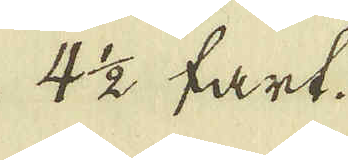4 1/2 fart.
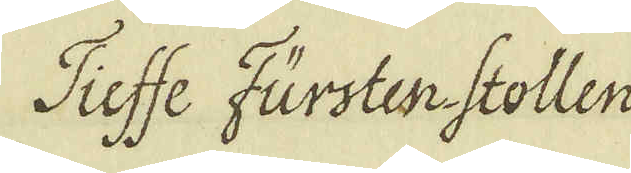Tieffe Fürstenstollen
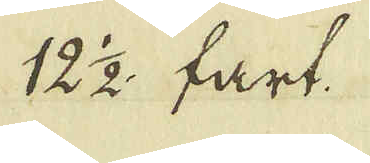12 2 fart.
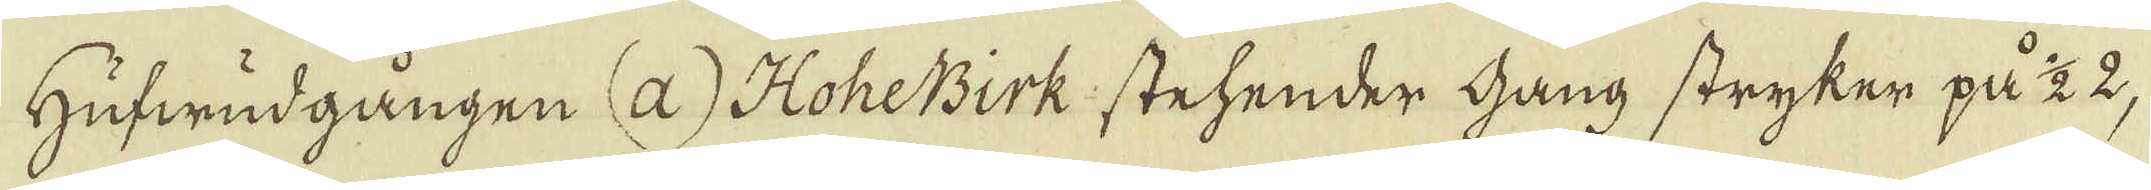Hufwudgången (a) HoheBirk stehender gang stryker på 1/2 2,
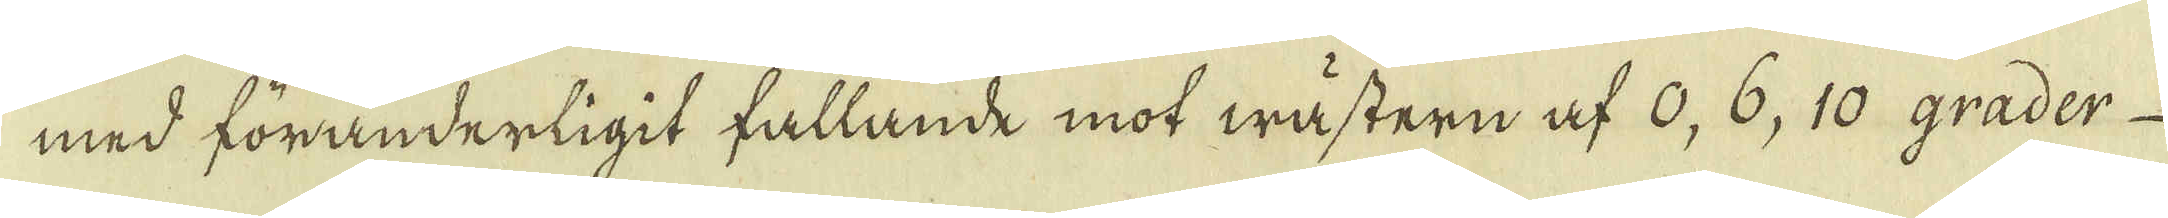med föränderligit fallande mot wästern af 0, 6, 10 grader
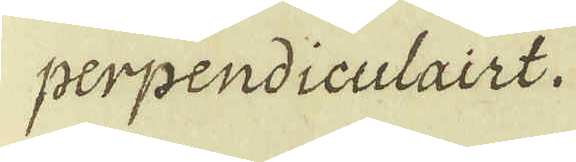perpendiculairt.
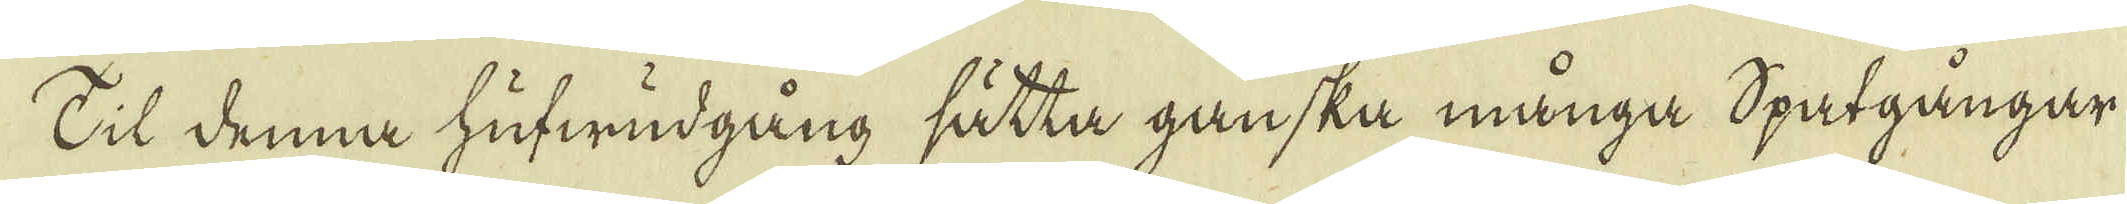Til denna hufwudgång sätta ganska många Spatgångar
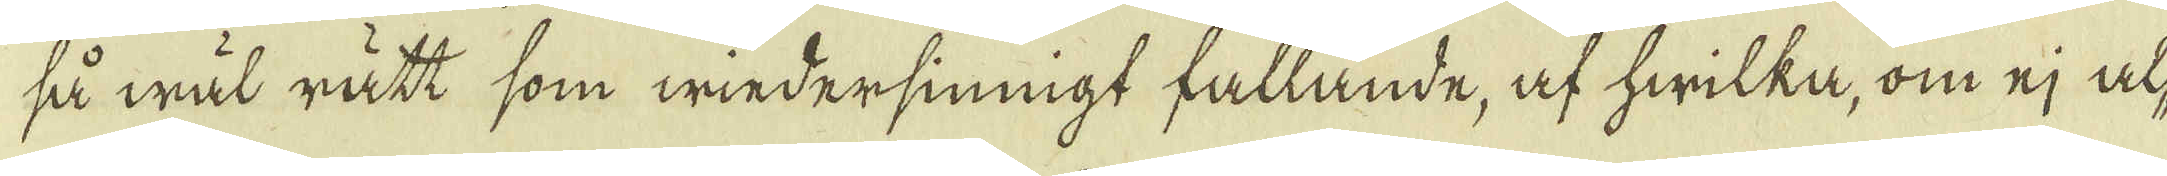så wäl rätt som wiedersiningt fallande, af hwilka, om ej al-
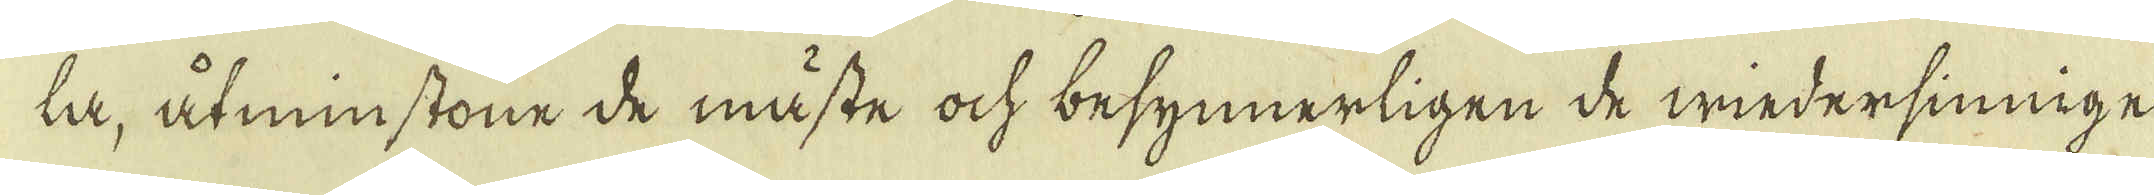ta, åtminstone de måste ock besynnerligen de wiedersinnige
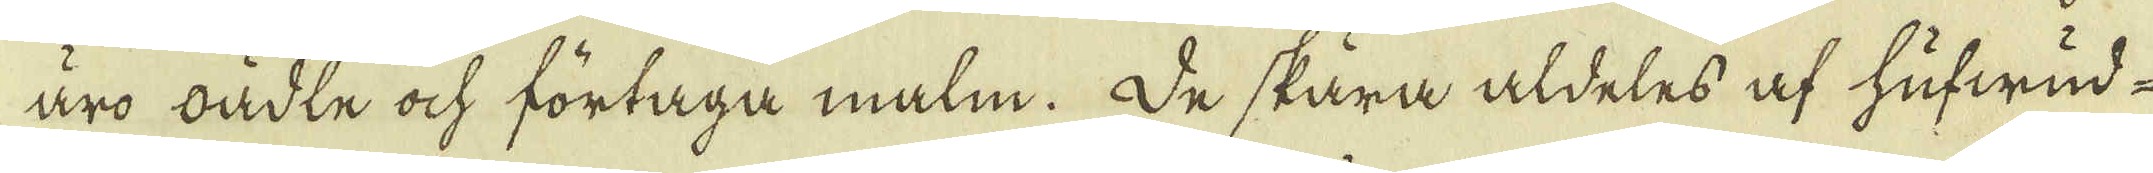äro bädte ock förtaga malm. De skära aldeles af hufwud-
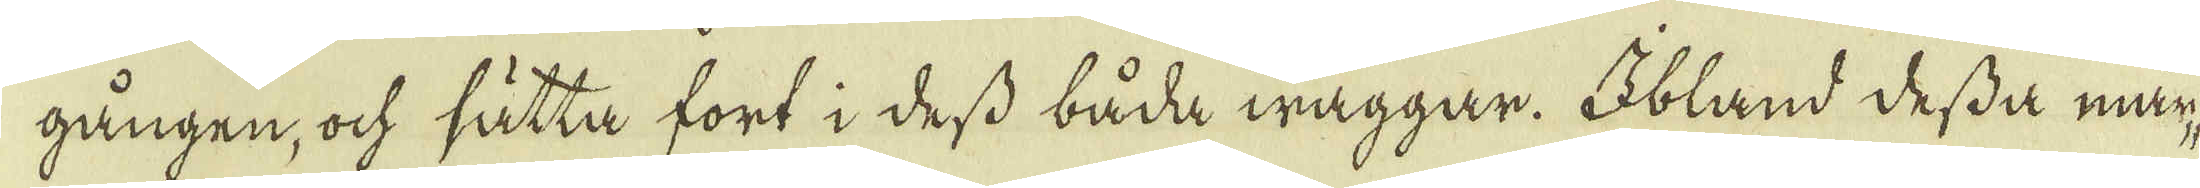gången, ock sätta fort i dess båda wäggar. Obland dessa mur-
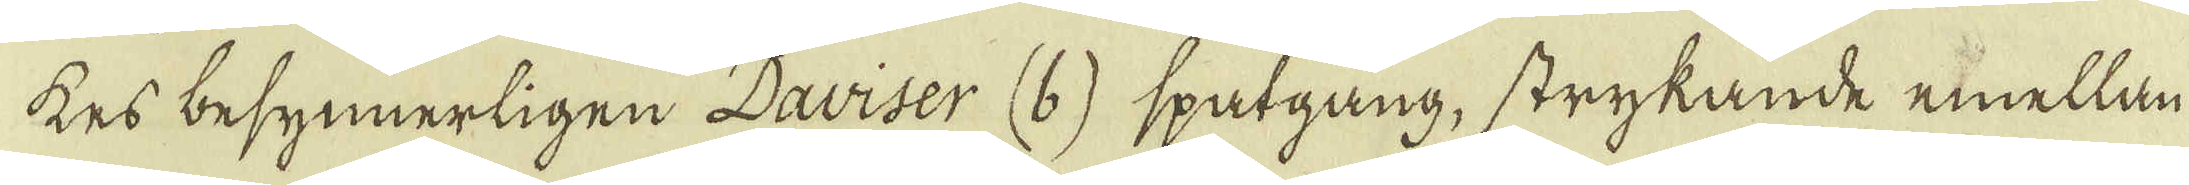kes besynnerligen Daviser (b) spatgång, strykande emellan
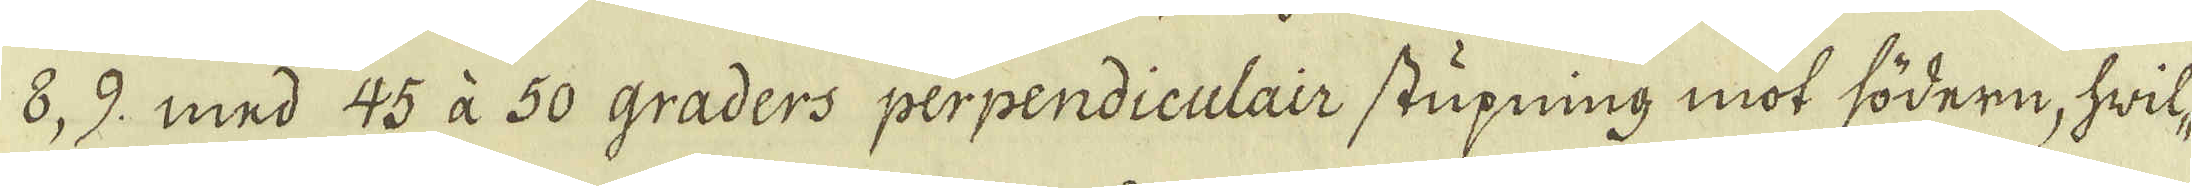8 9. med 45 à 50 graders perpendiculair stupning mot södern, hwil-
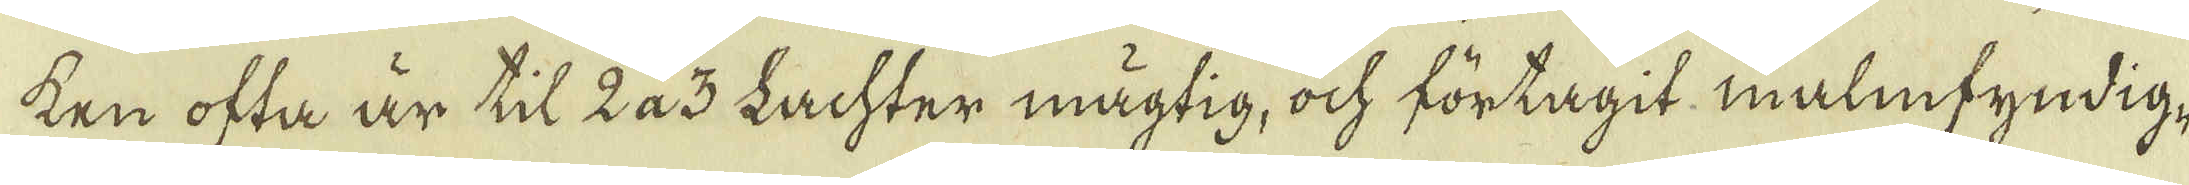ken ofta är til 2 a 3 Lachter mägtig, ock förtagit malmfyndig,
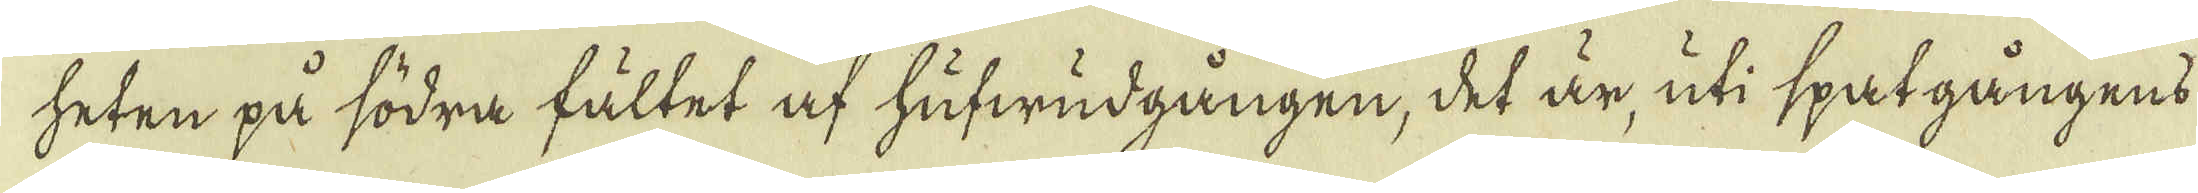heten på södra fältet af hufwudgången, det är, uti spat gångens
